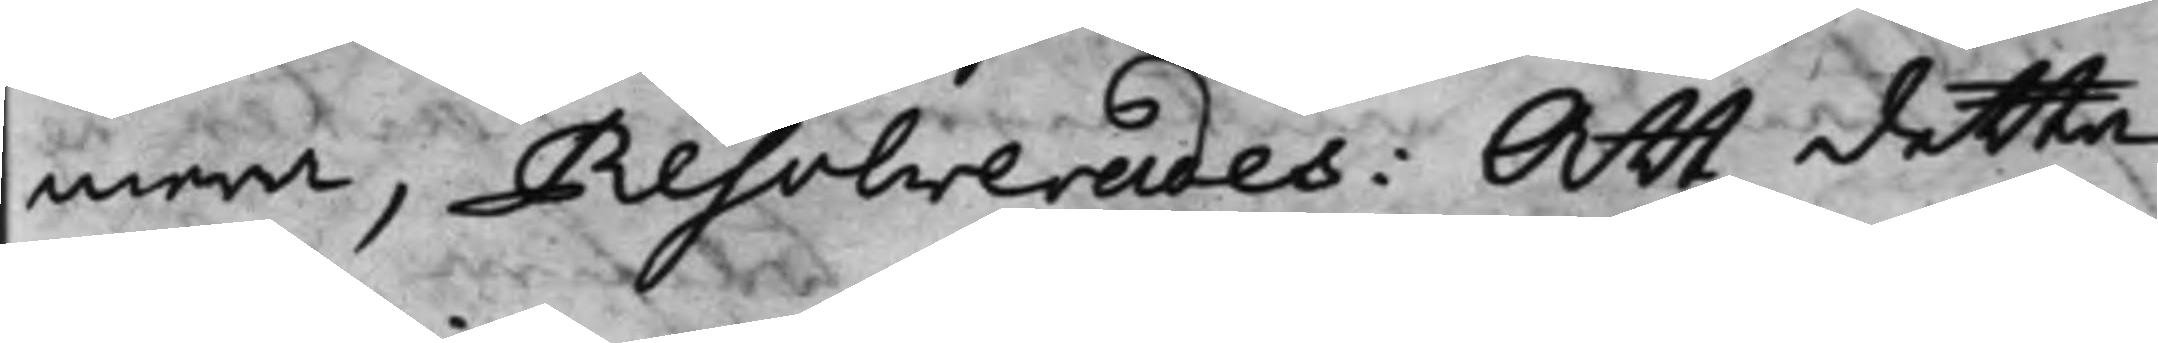mera, Resolverades: Att detta
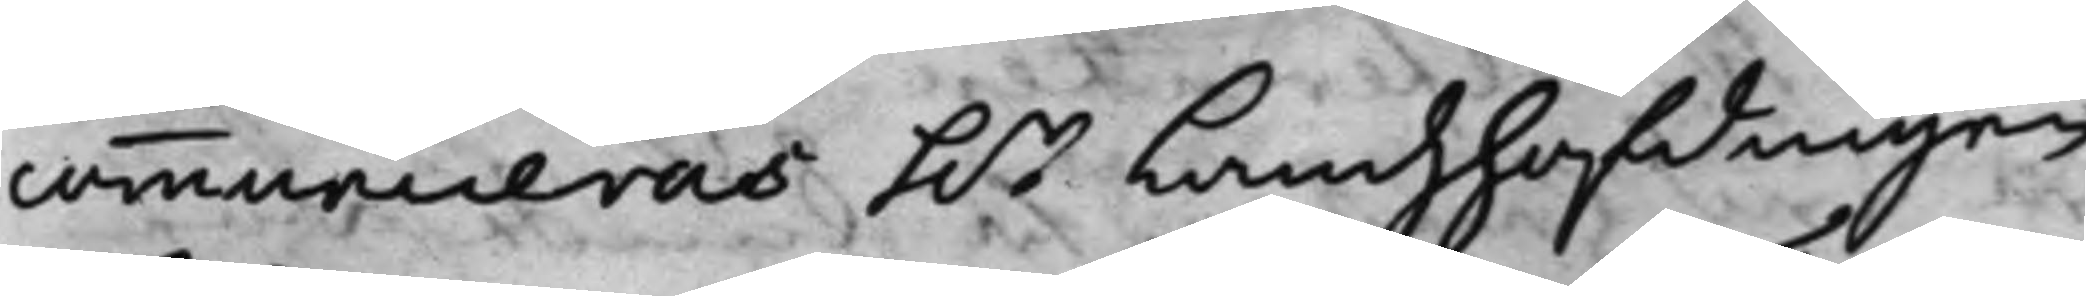communiceras h.r Landzhöfdingen
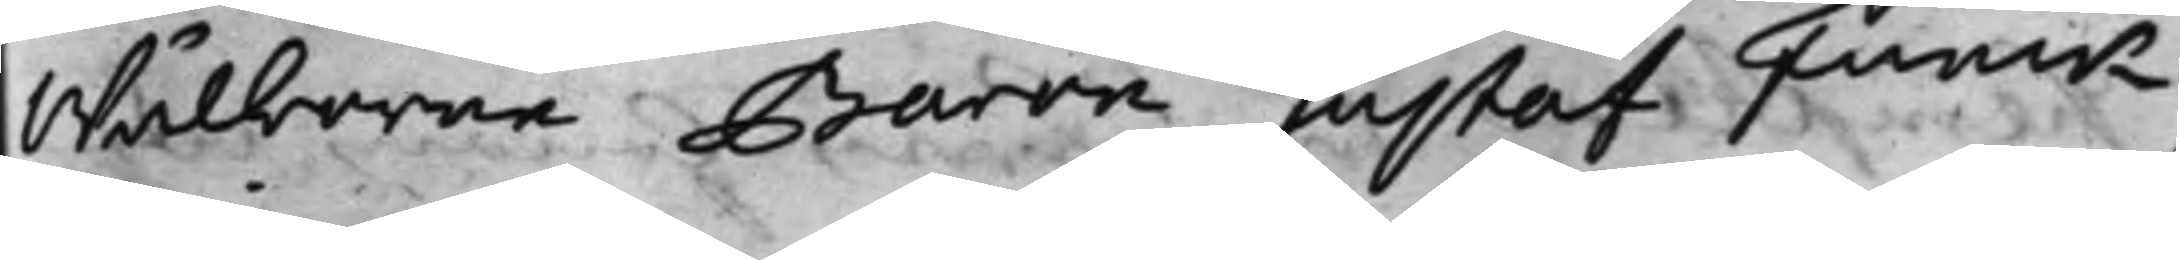Wälborne Baron Gustaf Funck,
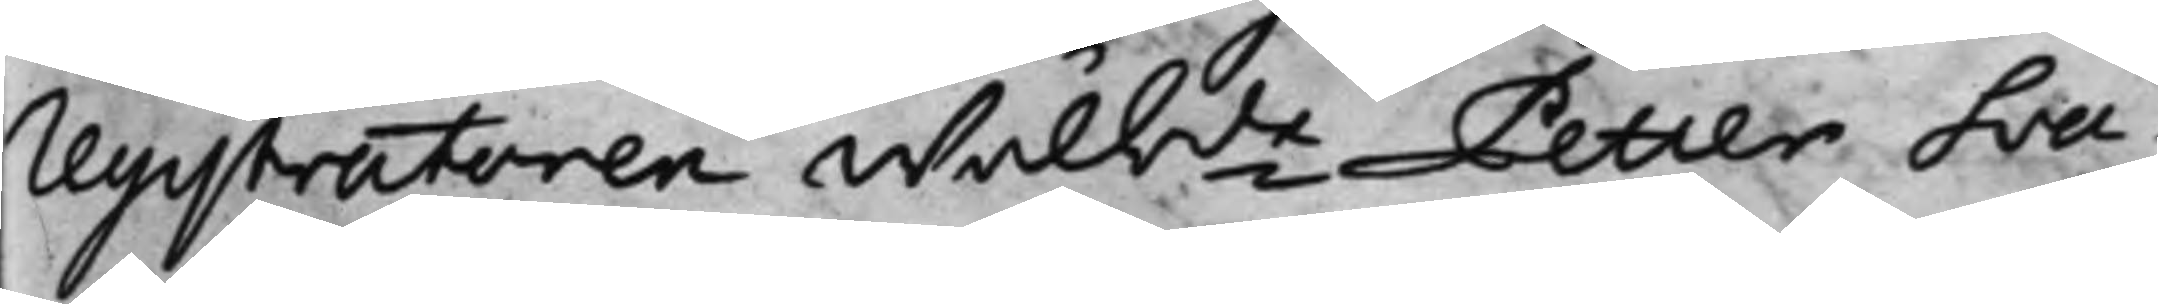registratoren Wälbde Petter Sva¬
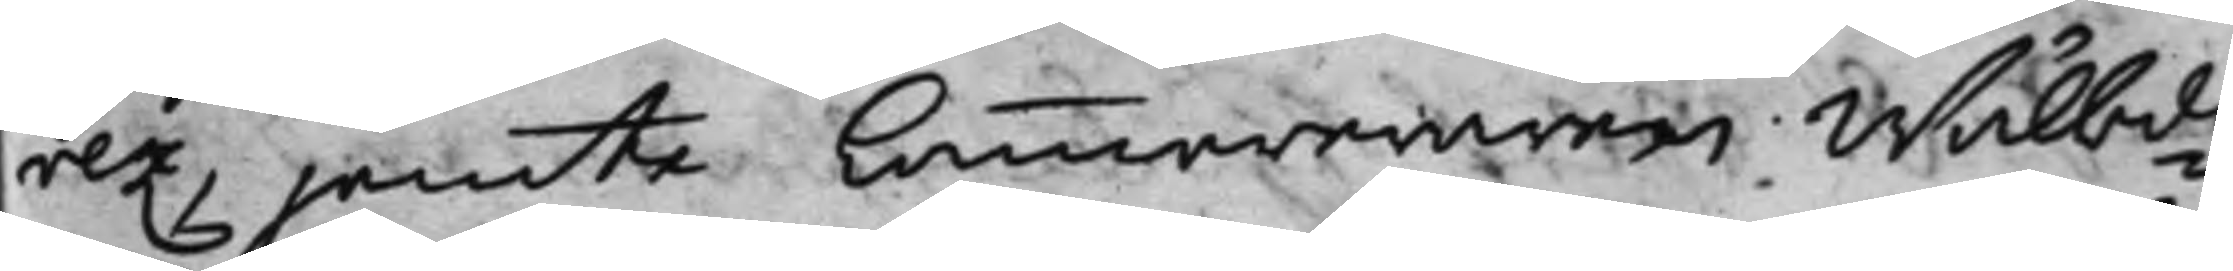rez, jemte Cammereraren Wälbde
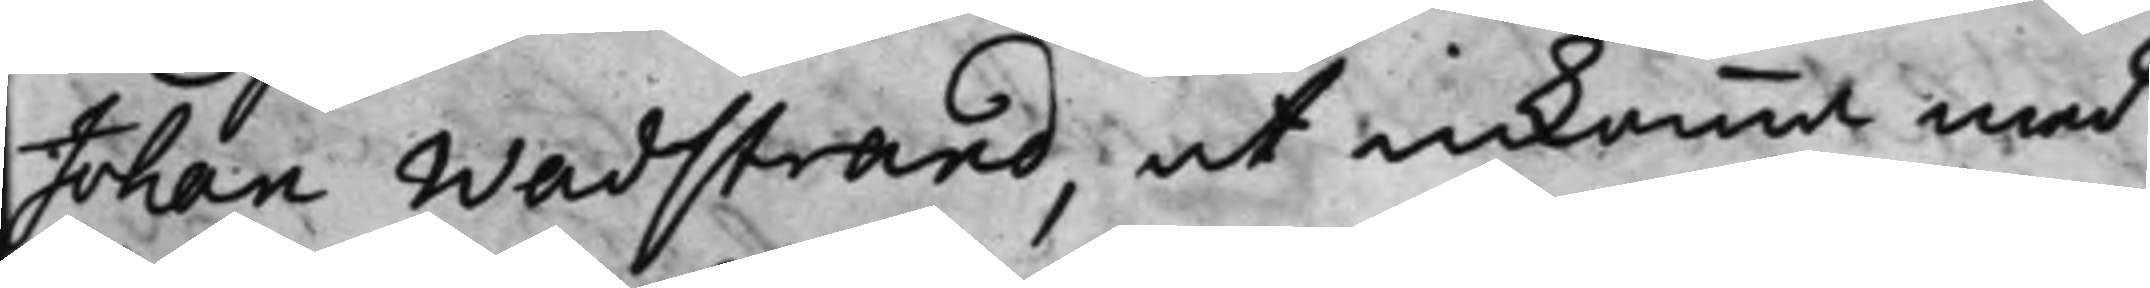Johan Wadstrand, at inkomma med
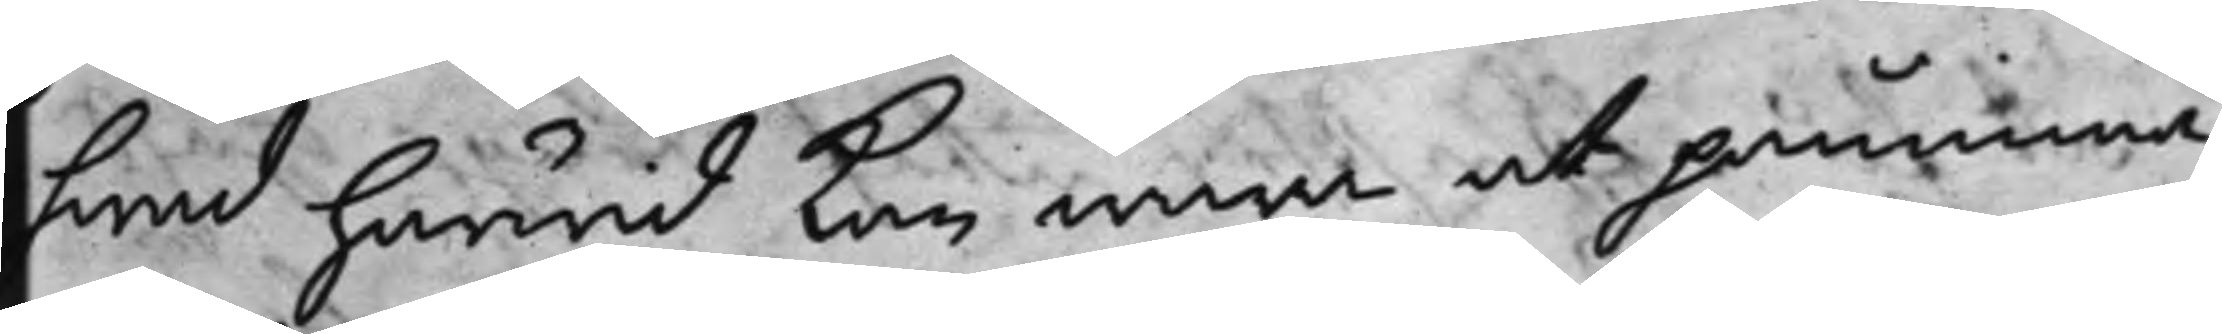hwad härwid kan wara at påminna,
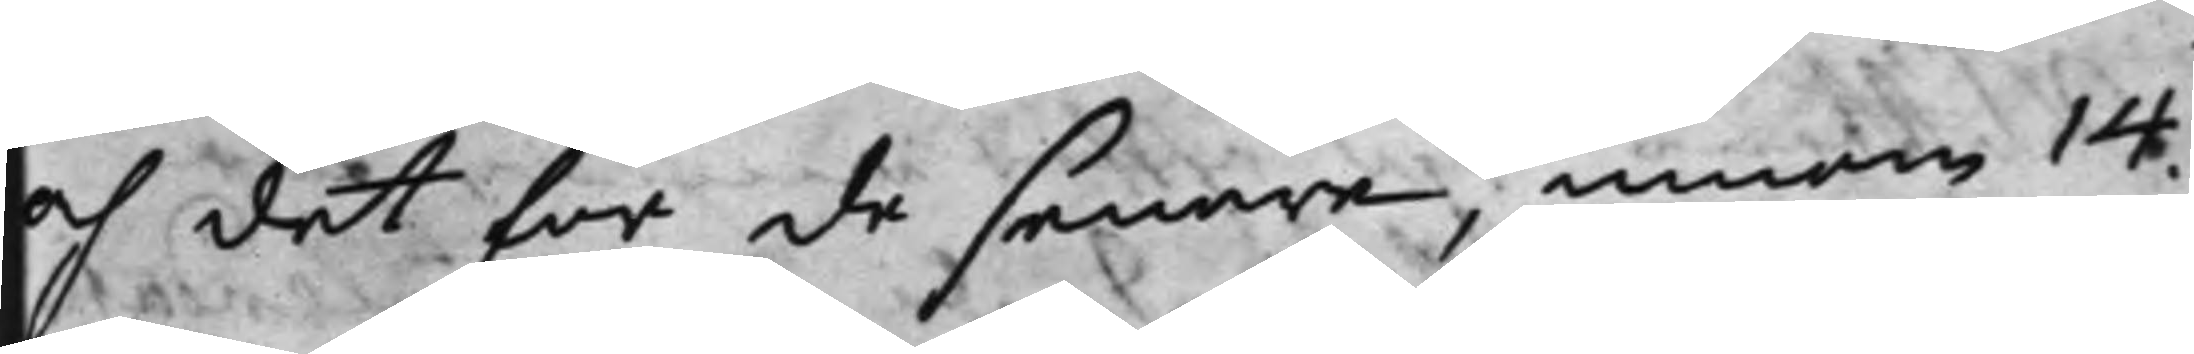och det för de senare, innom 14
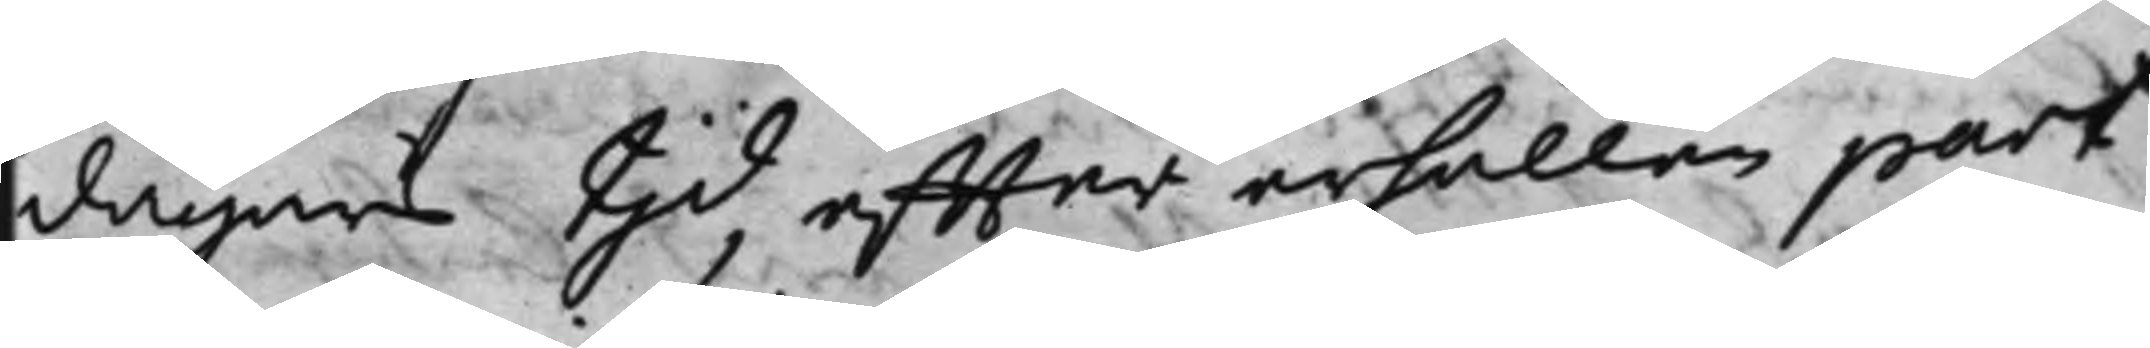dagars tjd, effter erhållen part
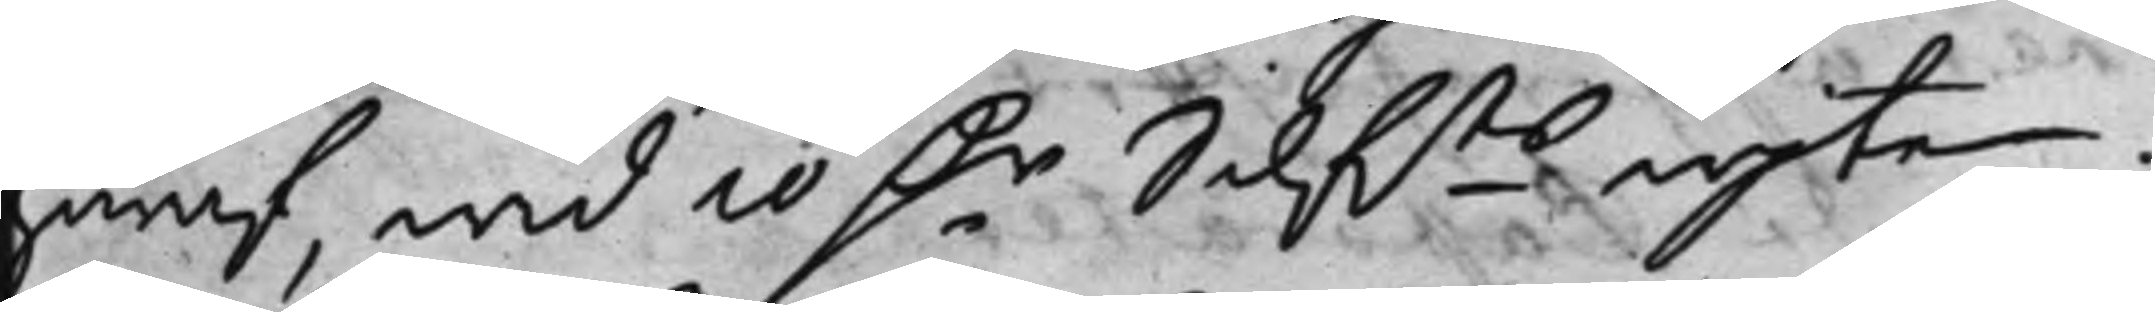häraf wid 10 D.r Silf.ts wjte ./.
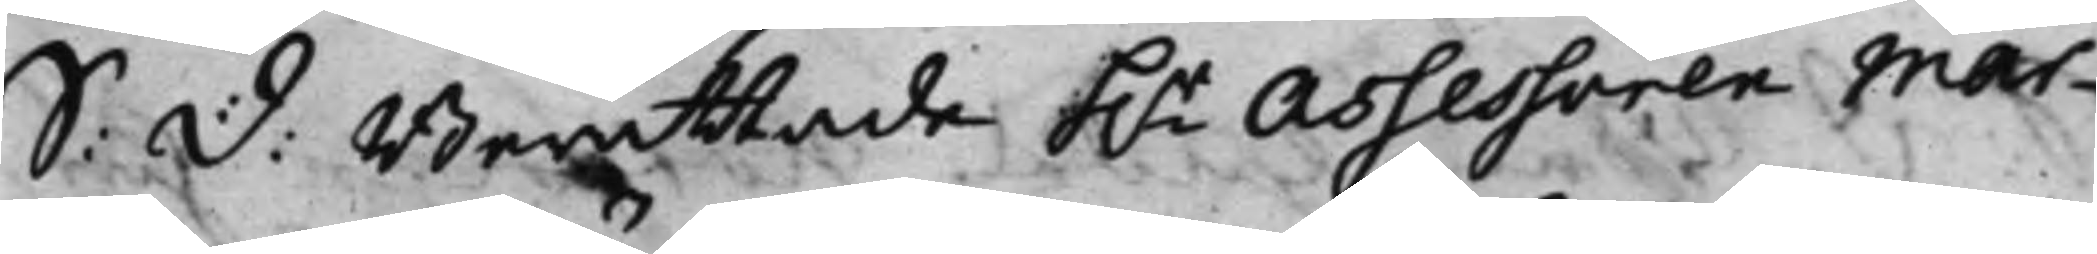S: d: Berättade h.r Assessoren Mar¬
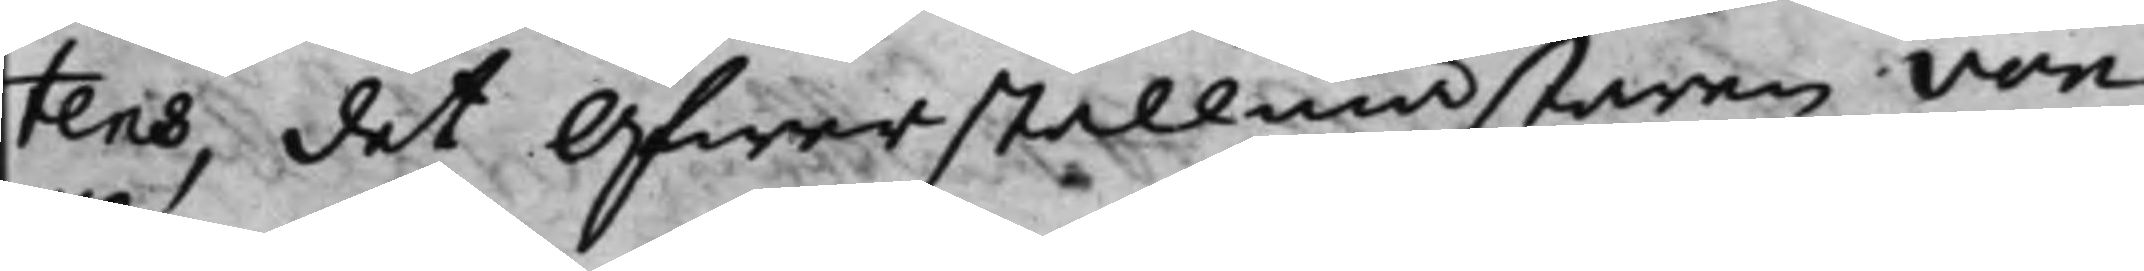tens, det Öfwerstallmästaren von
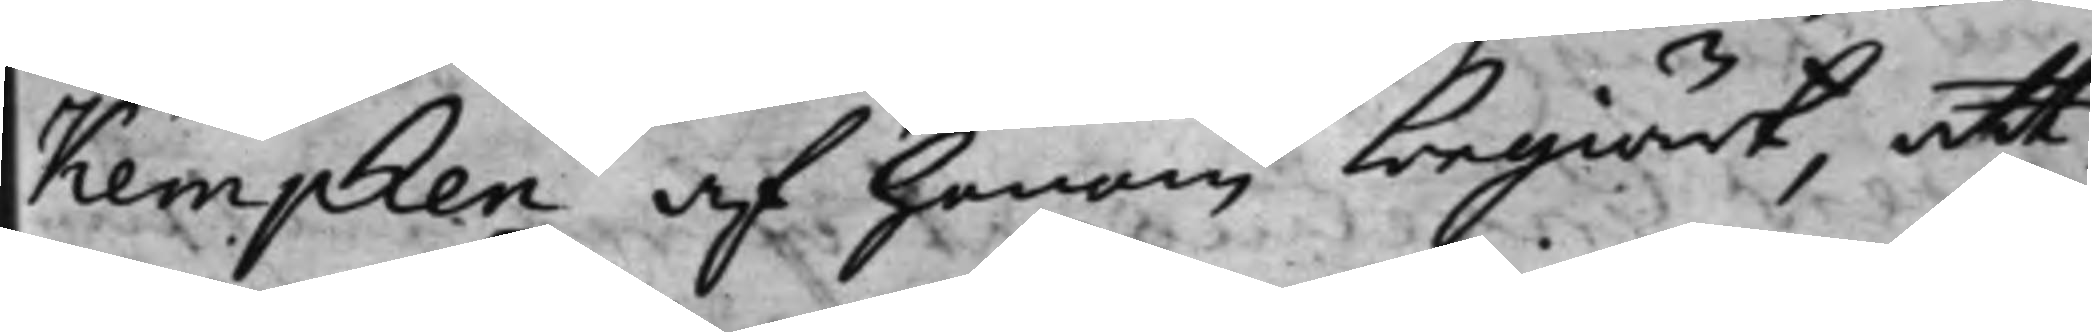Kempken af honom begiärt, att
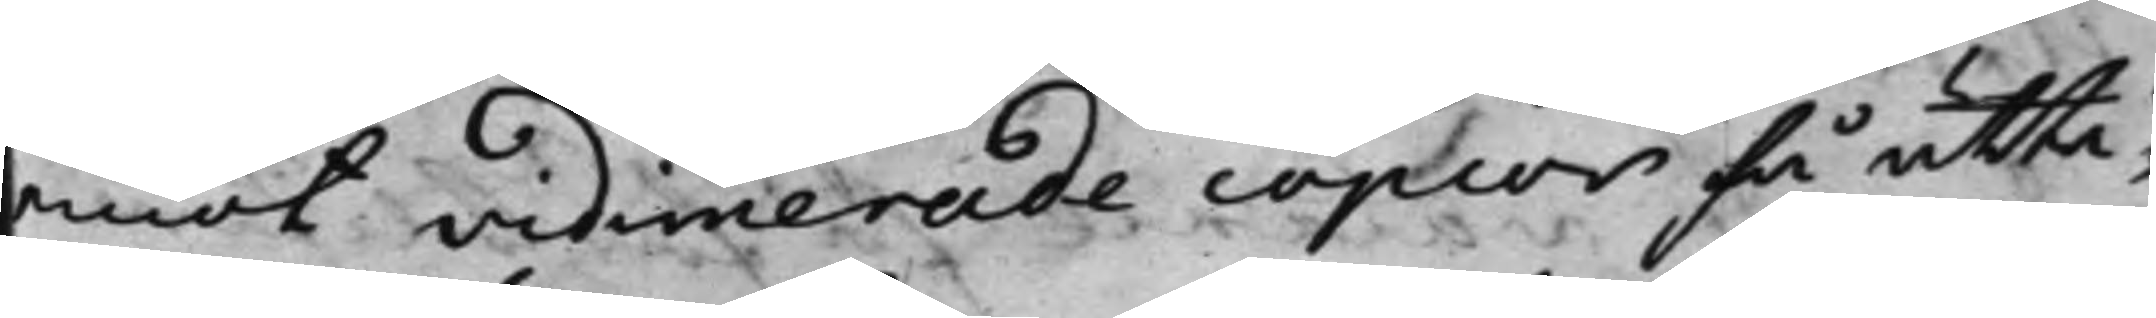emot vidimerade copior få utta¬
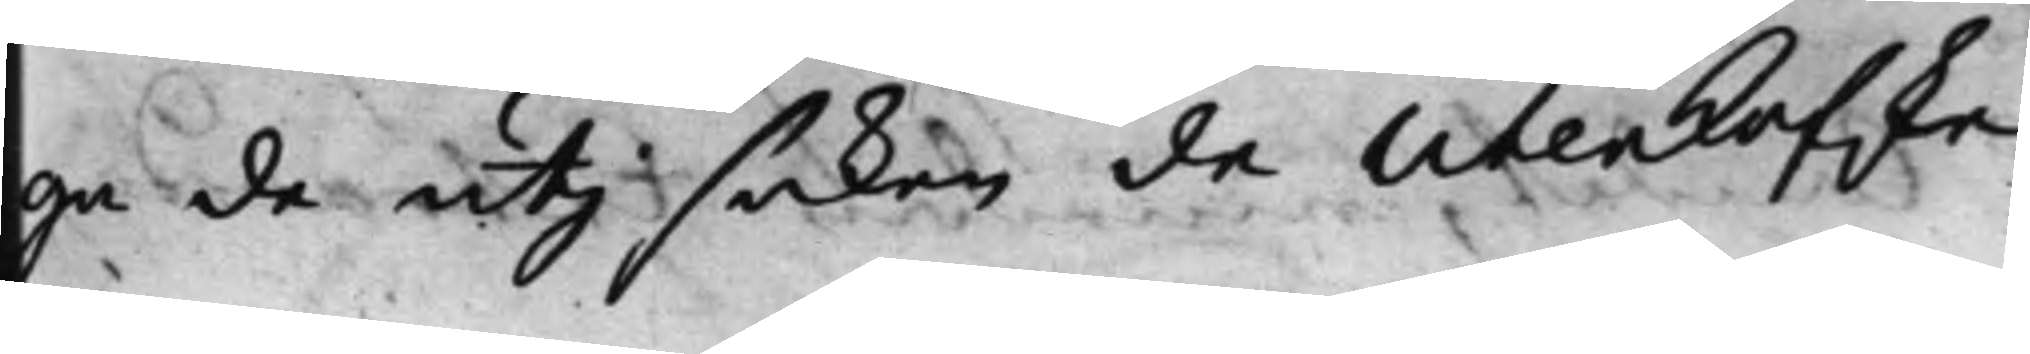ga de uti saken de Utenkofske
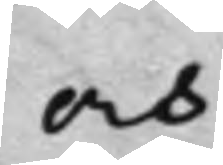och
